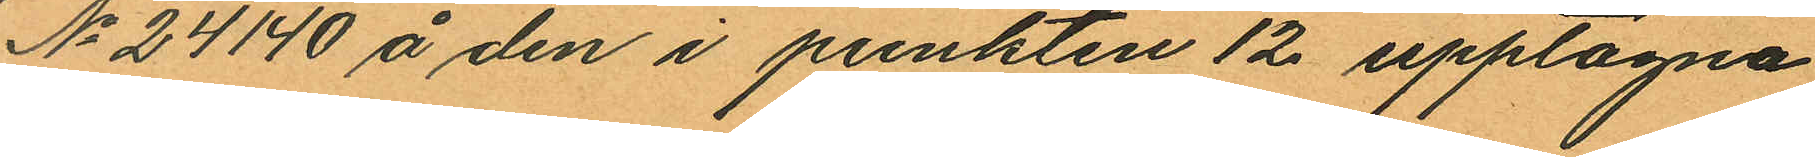No 24140 å den i punkten 12 upptagna
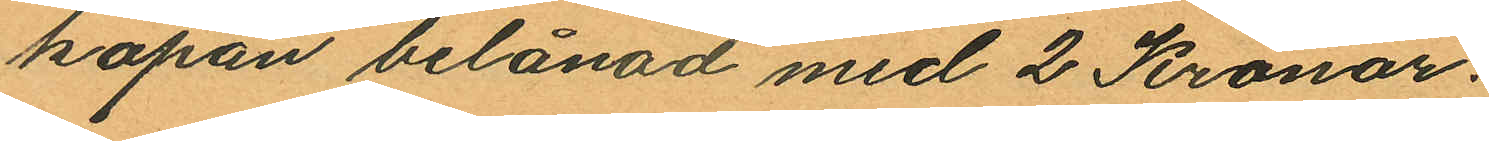kapan belånad med 2 Kronor.
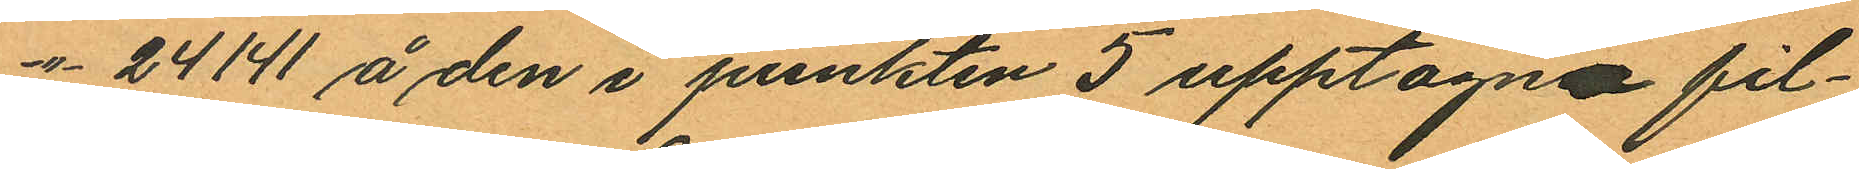-"- 24141 å den i punkten 5 upptagna fil¬
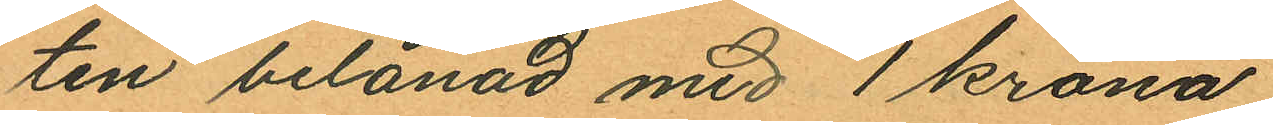ten belånad med 1 krona,
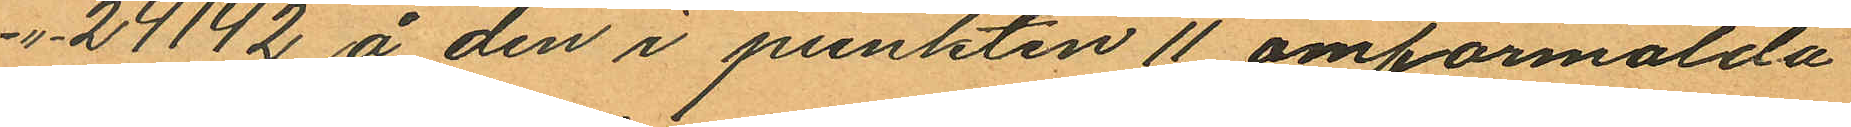-"- 24142 å den i punkten 11 omförmälda
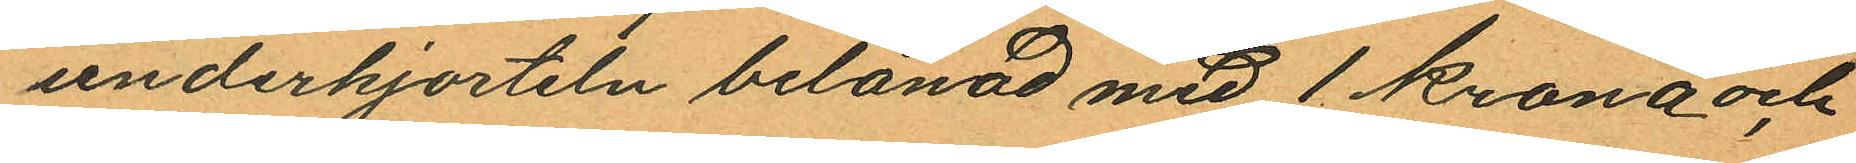underkjorteln belånad med 1 krona och
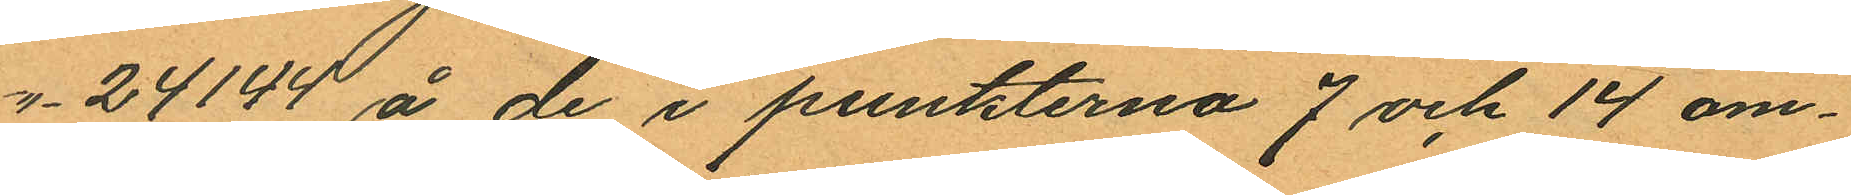-"- 24144 å de i punkterna 7 och 14 om¬
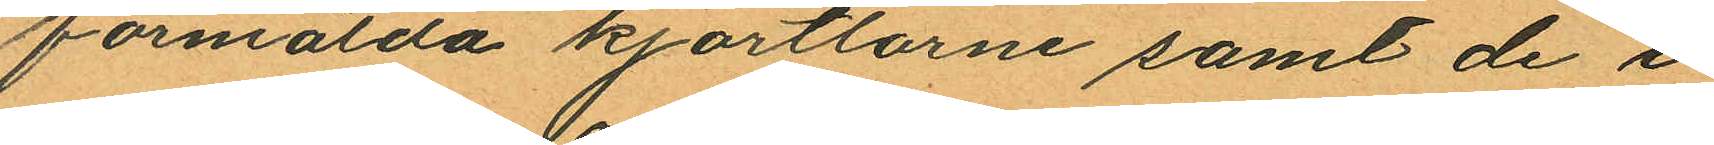förmälda kjortlarne samt de i
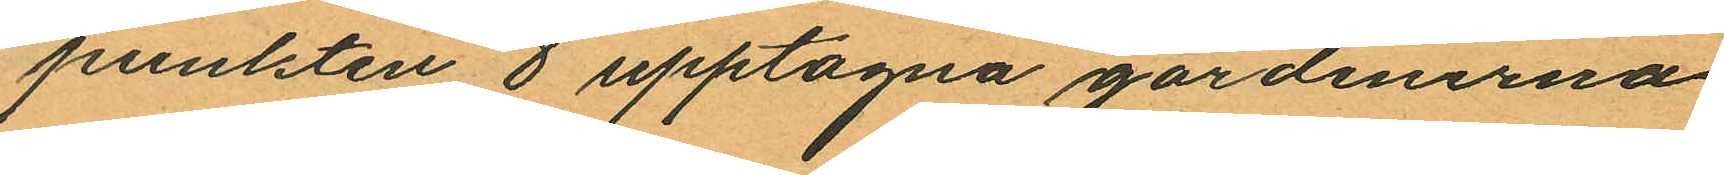punkten 8 upptagna gardinerna,
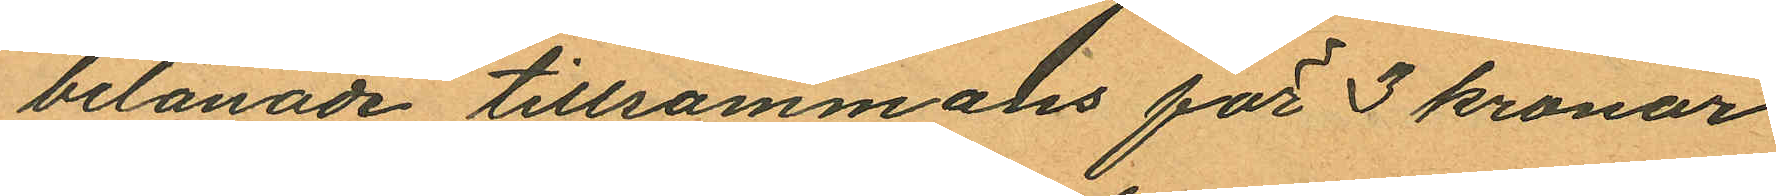belånade tillsammans för 3 kronor
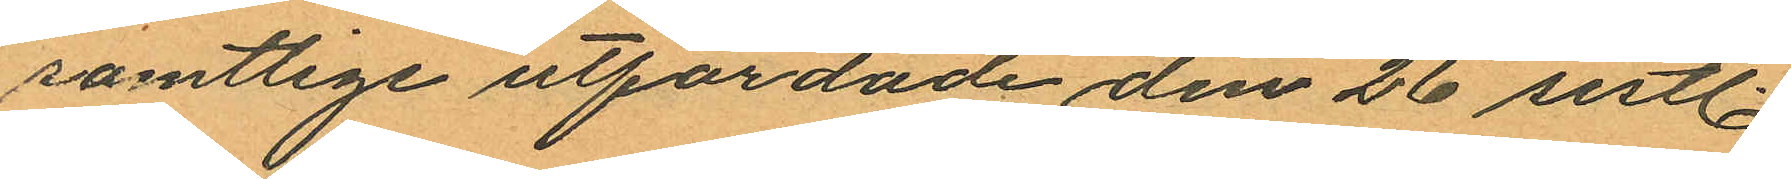samtlige utfärdade den 26 sistl.
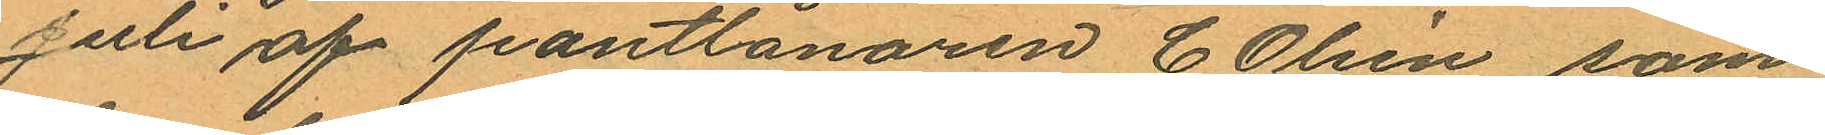Juli af pantlånaren C. Olsén, som
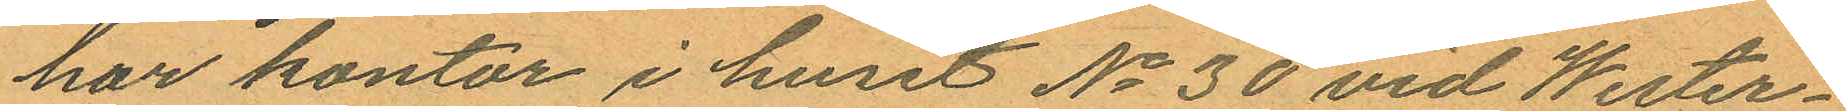har kontor i huset No 30 vid Wester¬
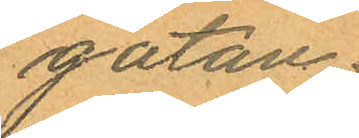gatan.
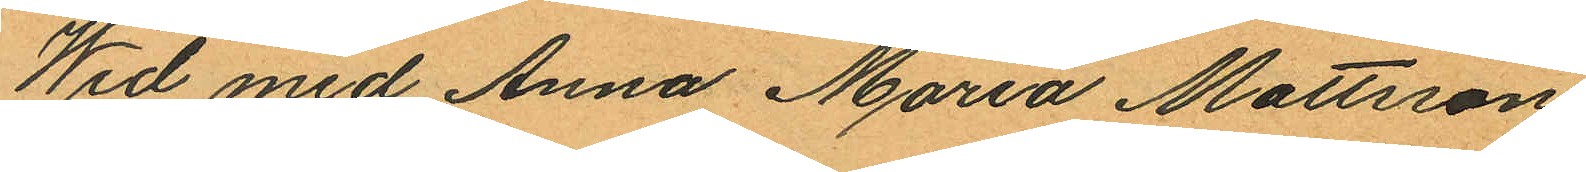Wid med Anna Maria Mattsson
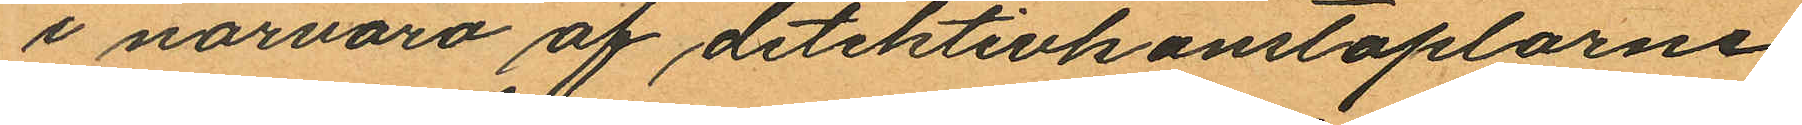i närvaro af detektivkonstaplarne
